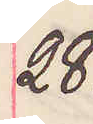28.
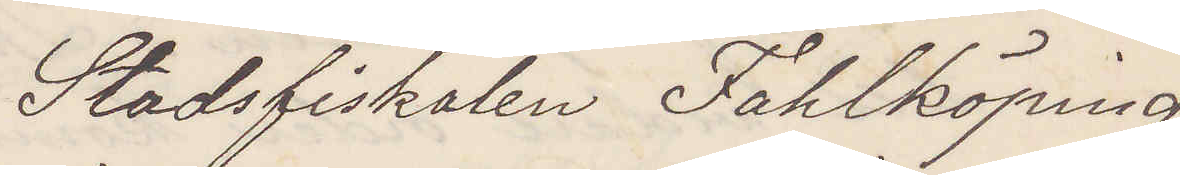Stadsfiskalen Fahlköping
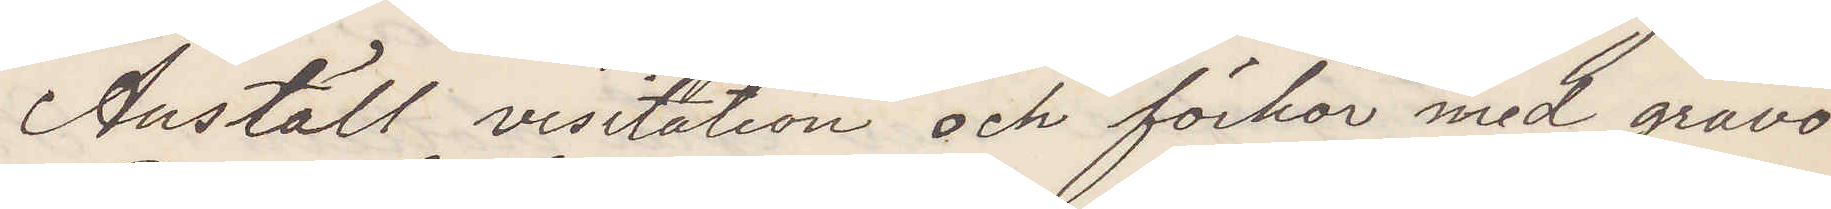Anställ visitation och förhör med gravö¬
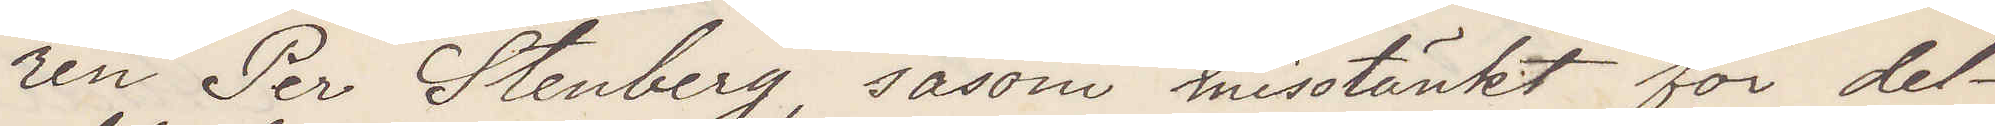ren Per Stenberg såsom misstänkt för del¬
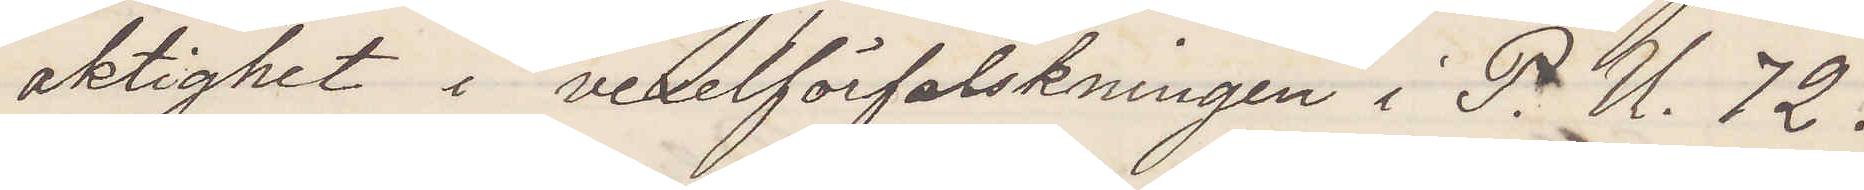aktighet i vexelförfalskningen i P. U. 72.
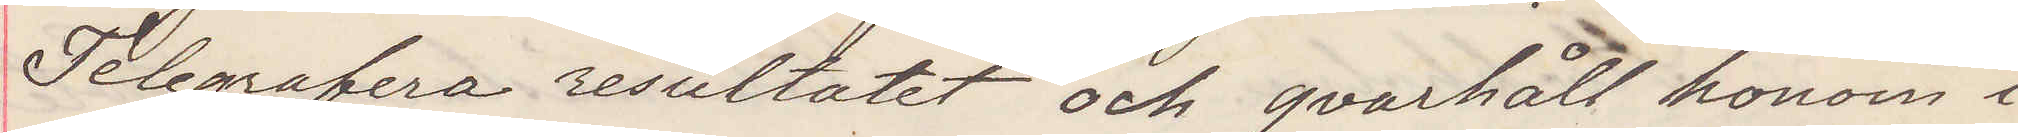Telegrafera resultatet och qvarhåll honom i
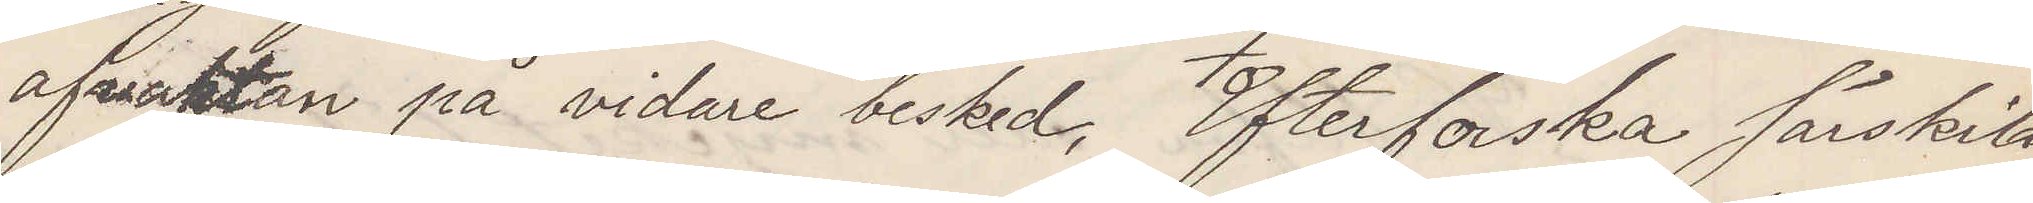afvaktan på vidare besked. Efterforska särskildt
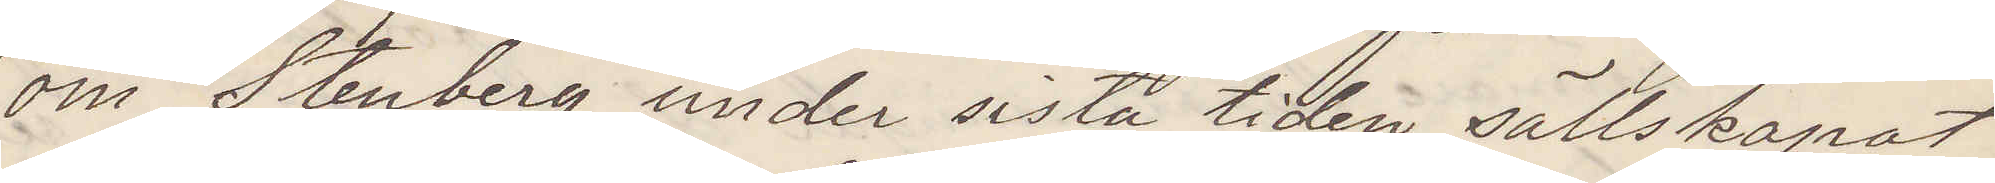om Stenberg undr sista tiden sällskapat
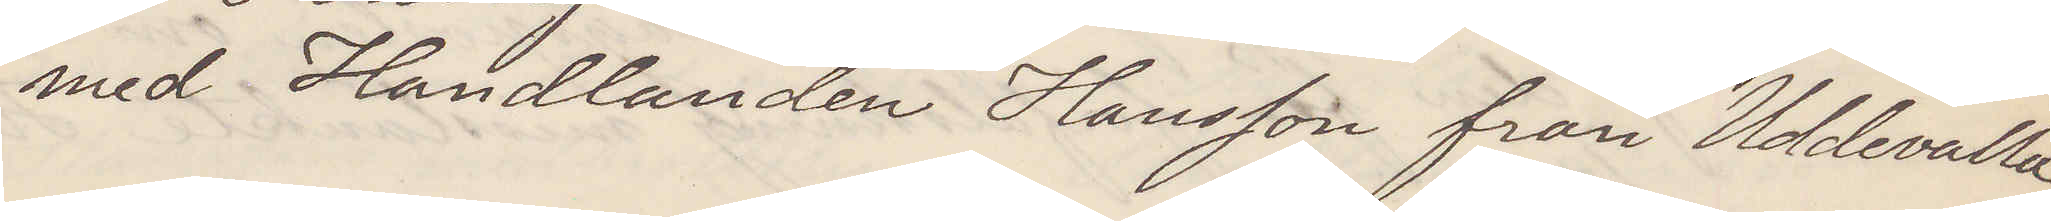med Handlanden Hansson från Uddevalla.
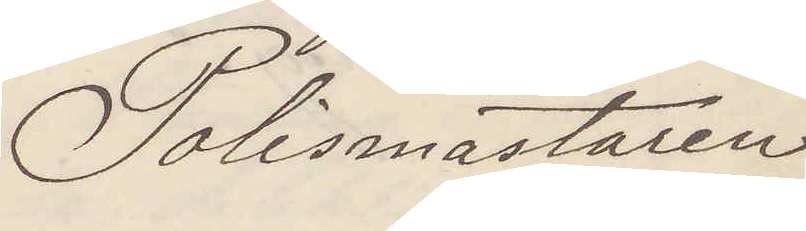Polismästaren
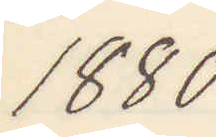1880
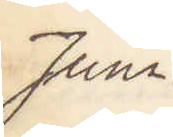Juni.
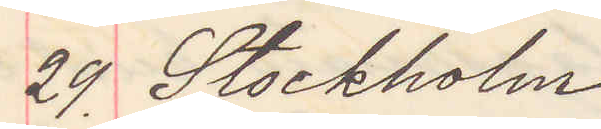29. Stockholm
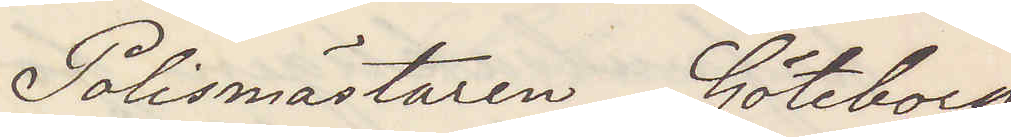Polismästaren Göteborg
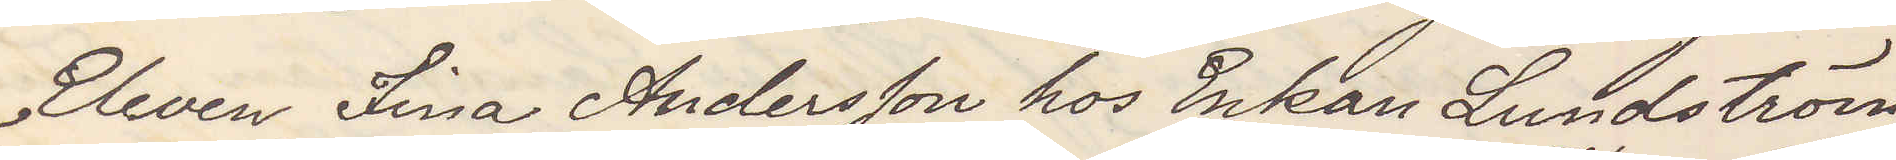Eleven Fina Andersson hos Enkan Lundström
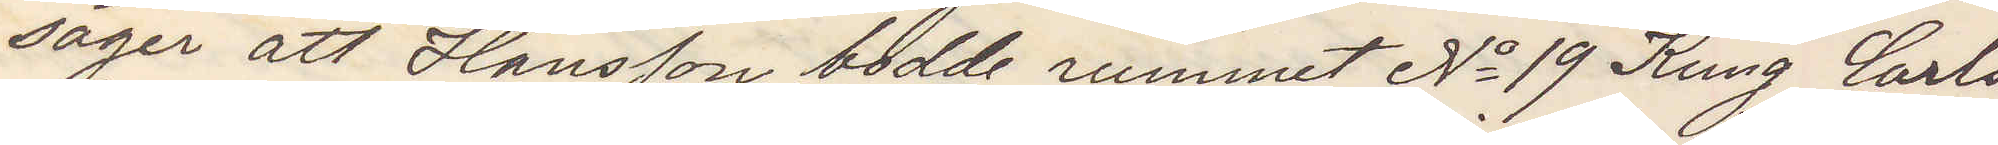säger att Hansson bodde rummet No 19 Kung Carls
